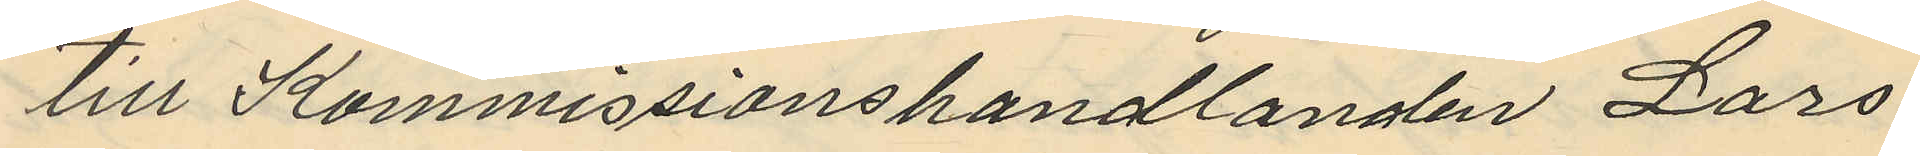till Kommissionshandlanden Lars
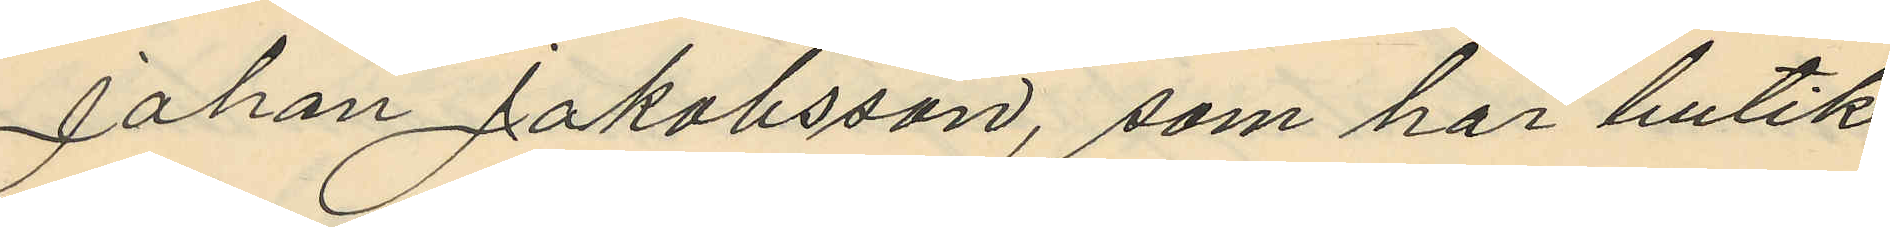Johan Jakobsson, som har butik
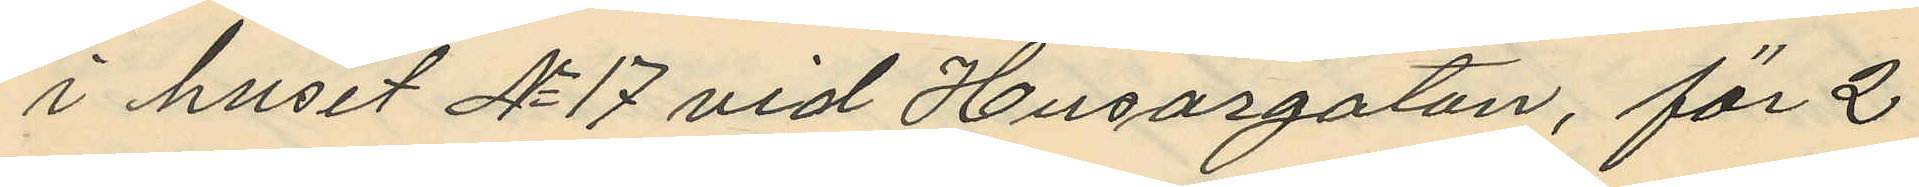i huset No 17 vid Husargatan, för 2
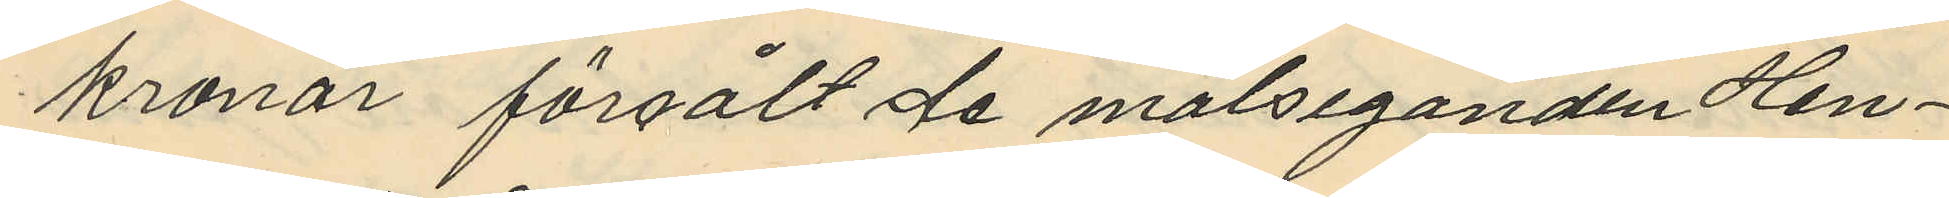kronor försålt de målseganden Hen¬
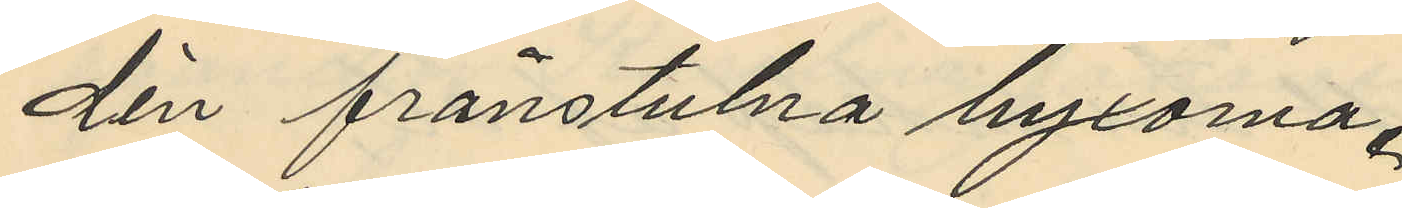dén frånstulna byxorna.
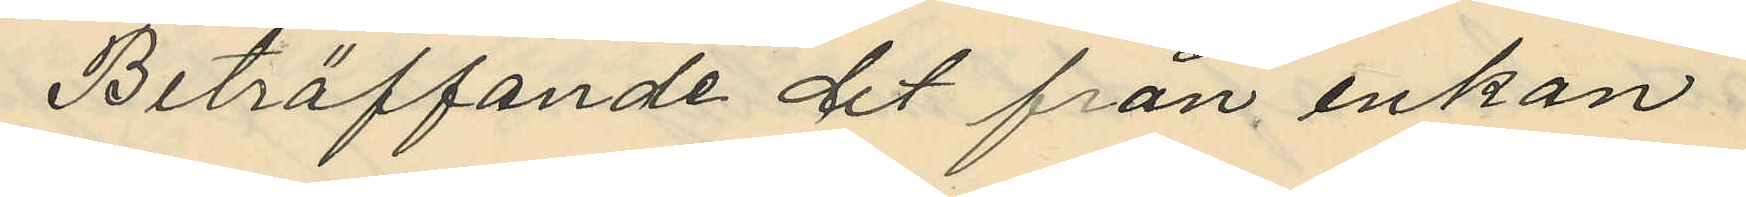Beträffande det från enkan
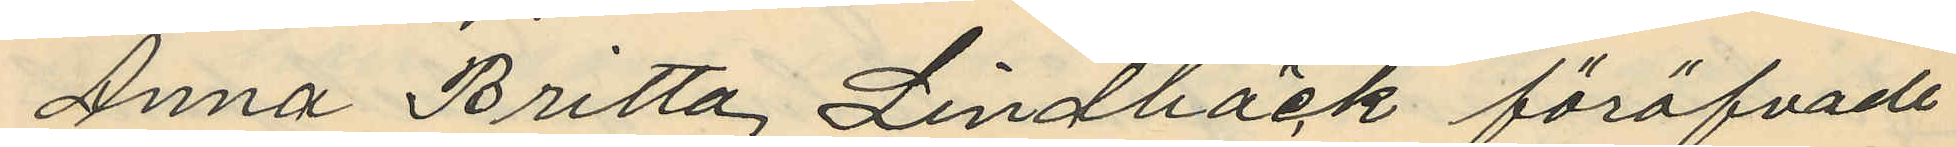Anna Britta Lindbäck föröfvade
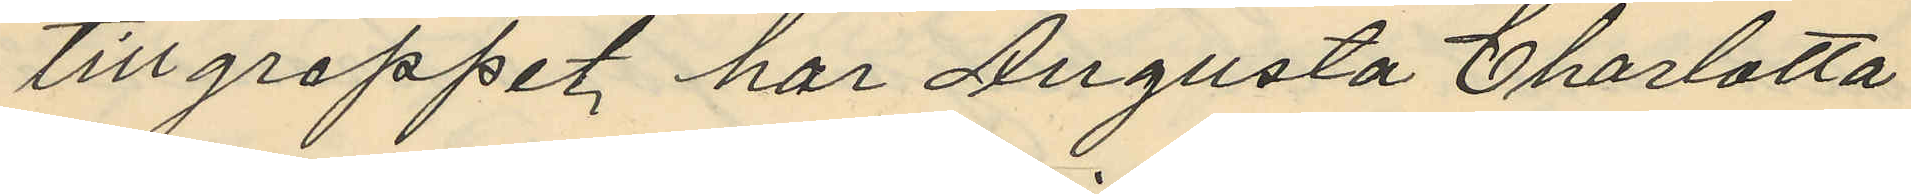tillgreppet har Augusta Charlotta
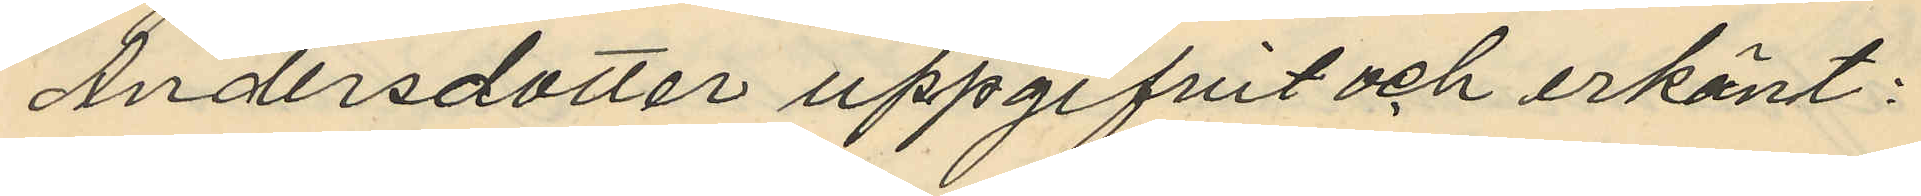Andersdotter uppgifvit och erkänt:
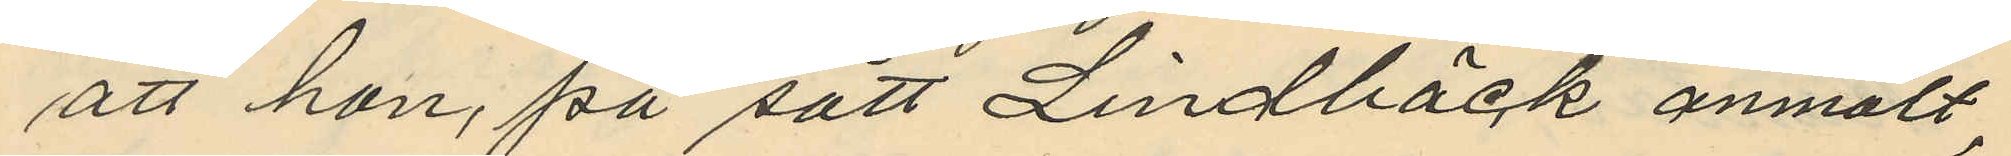att hon, på sätt Lindbäck anmält,
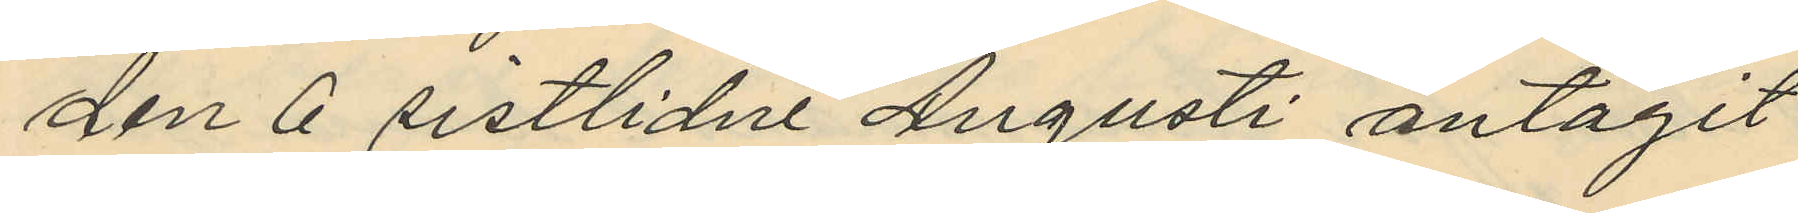den 6 sistlidne Augusti antagit
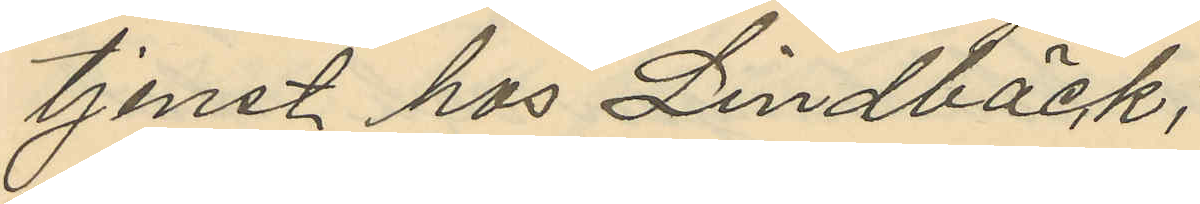tjenst hos Lindbäck,
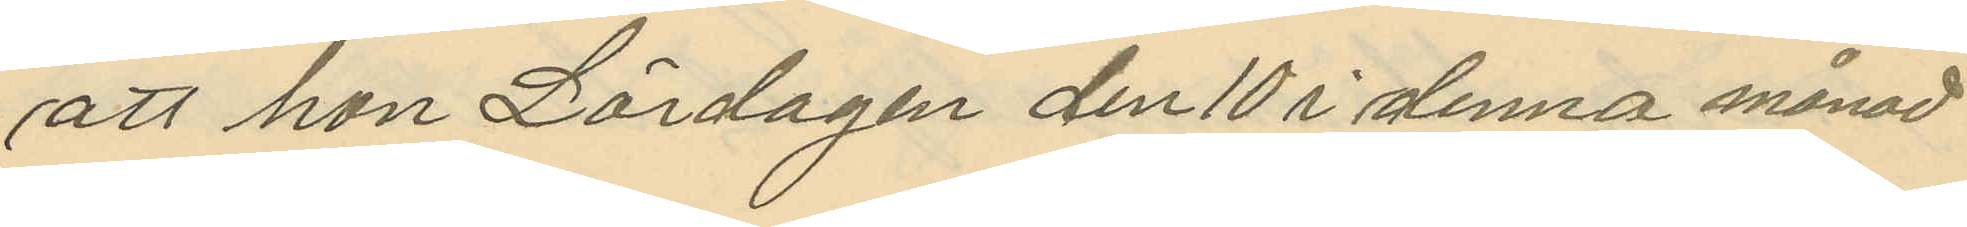att hon Lördagen den 10 i denna månad
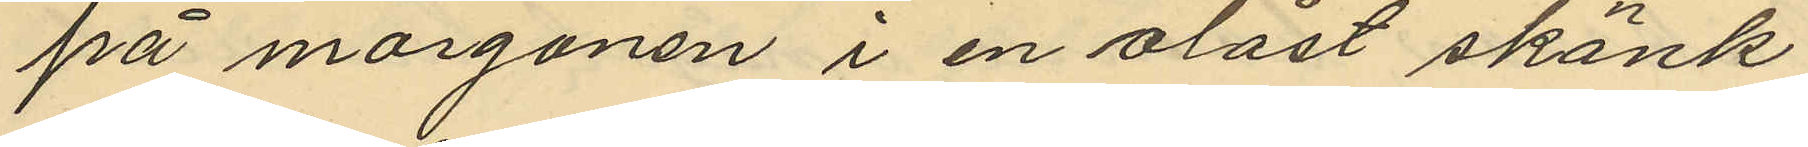på morgonen i en olåst skänk
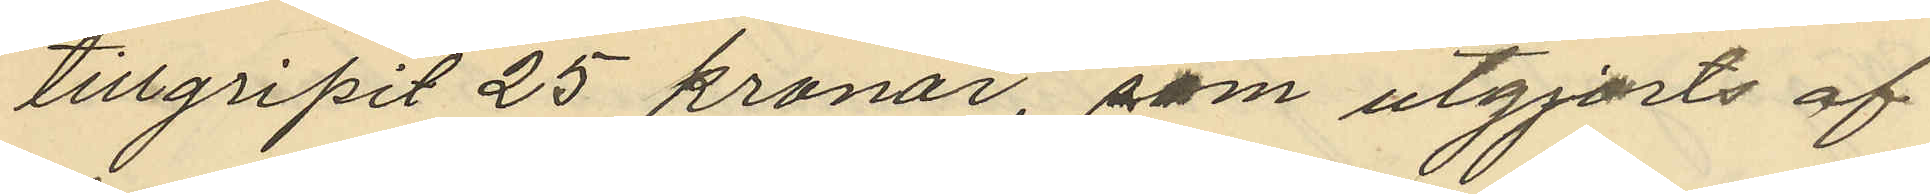tillgripit 25 kronor, som utgjorts af
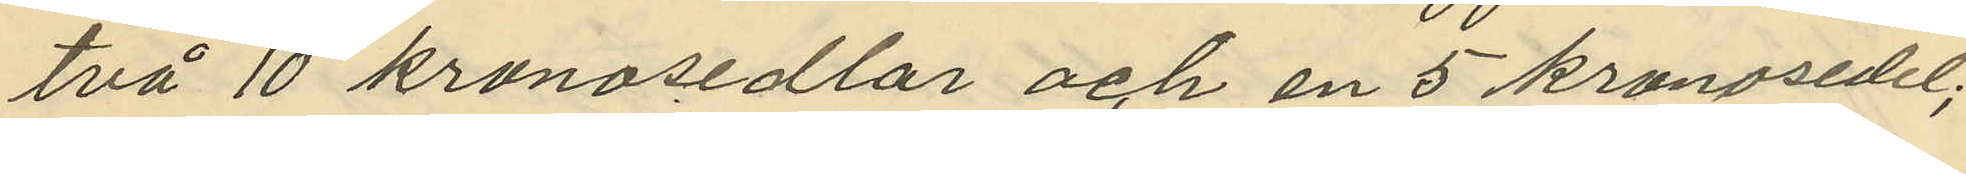två 10 kronosedlar och en 5 kronosedel;
